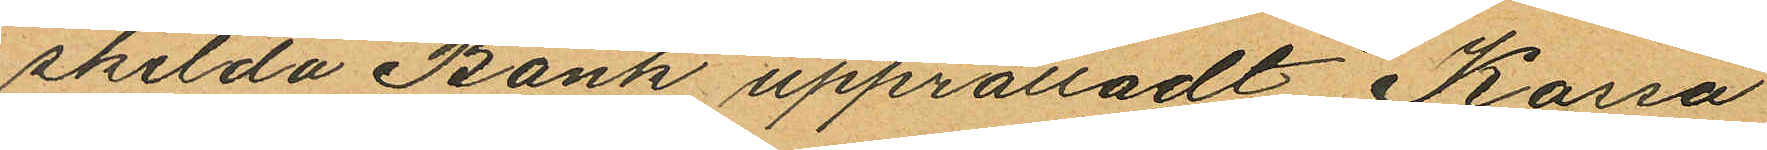skilda Bank upprättadt Kassa
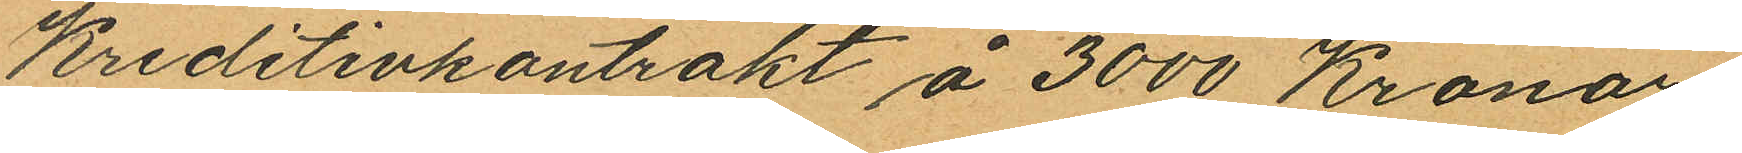Kreditivkontrakt å 3000 Kronor,
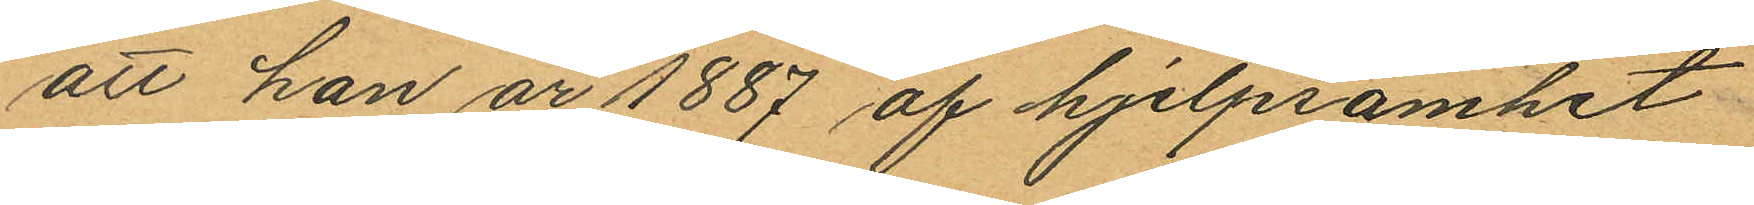att han år 1887 af hjelpsamhet
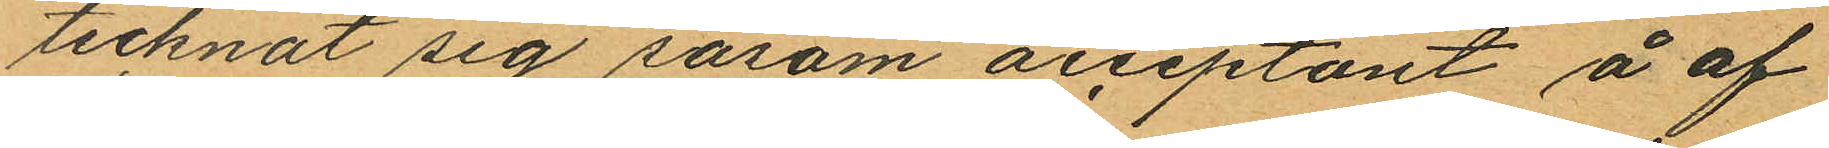tecknat sig såsom acceptant å af
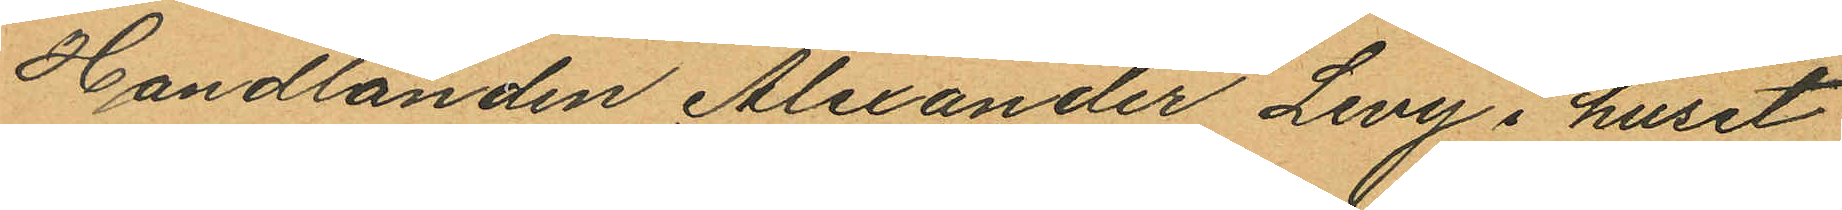Handlanden Alexander Levy i huset
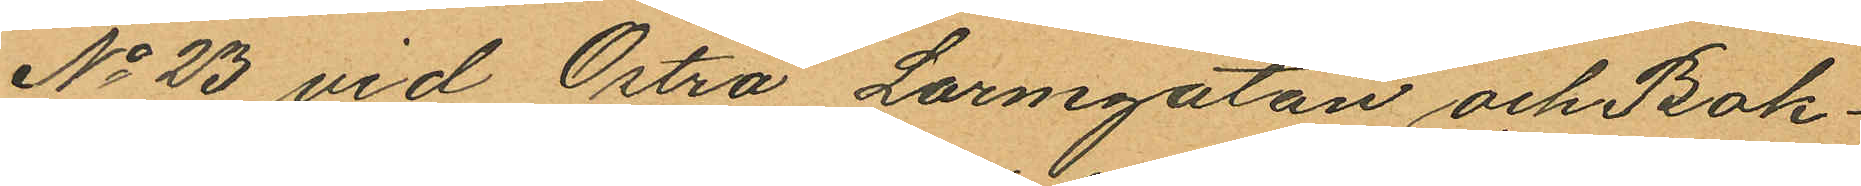No 23 vid Östra Larmgatan och Bok¬
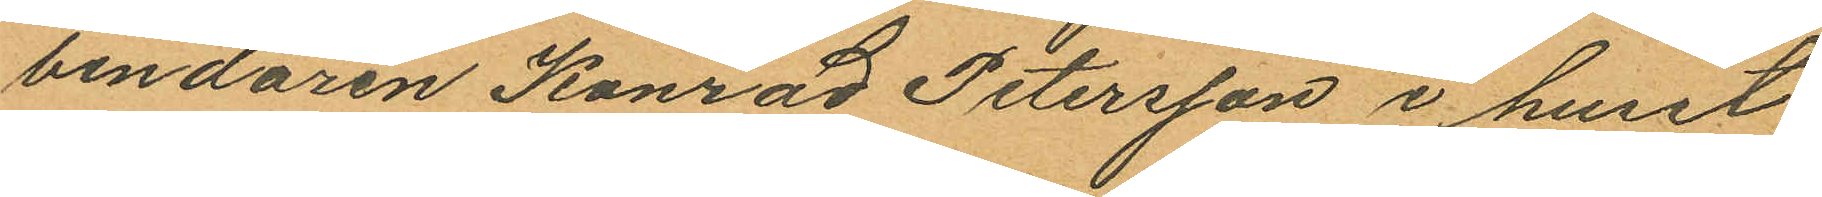bindaren Konrad Petersson i huset
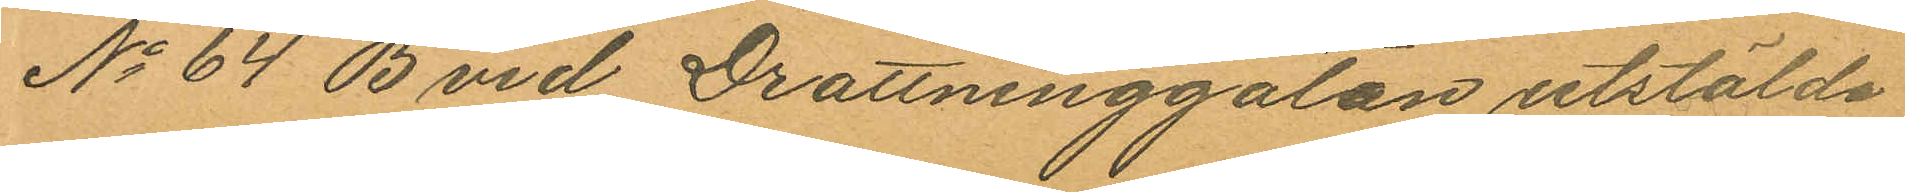No 64 B vid Drottninggatan utstälda
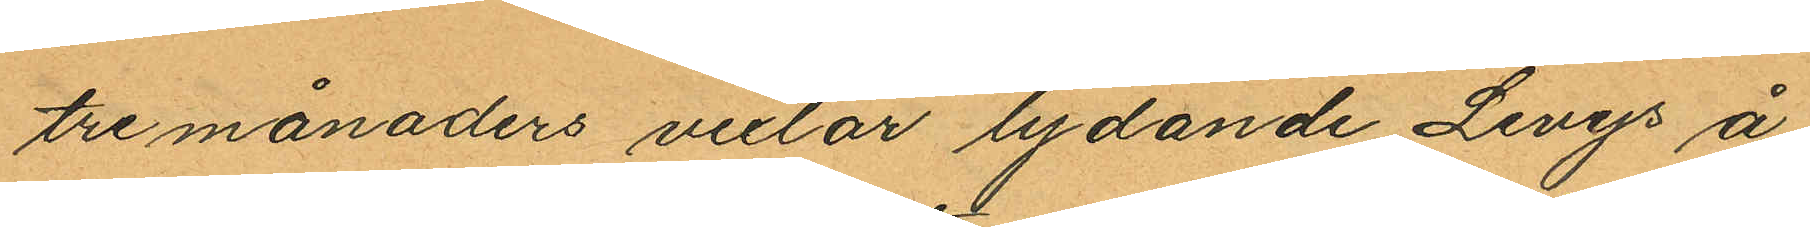tre månaders vexlar lydande Levys å
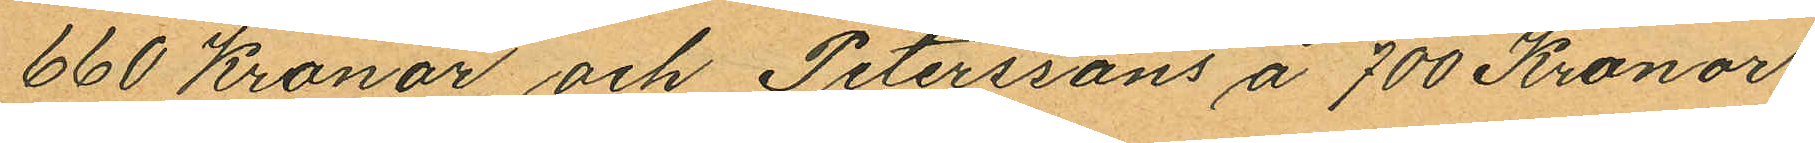660 Kronor och Peterssons å 700 Kronor,
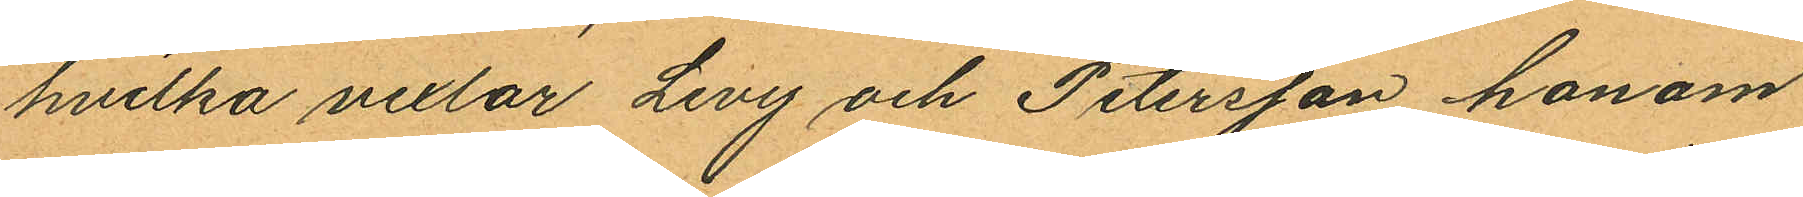hvilka vexlar Levy och Petersson honom
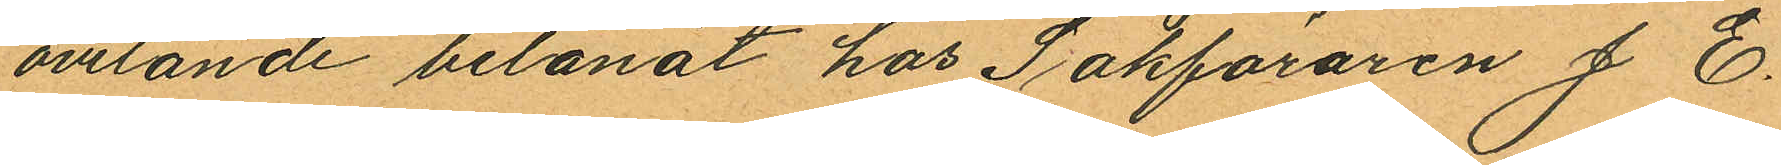ovetande belånat hos Sakföraren J. E.
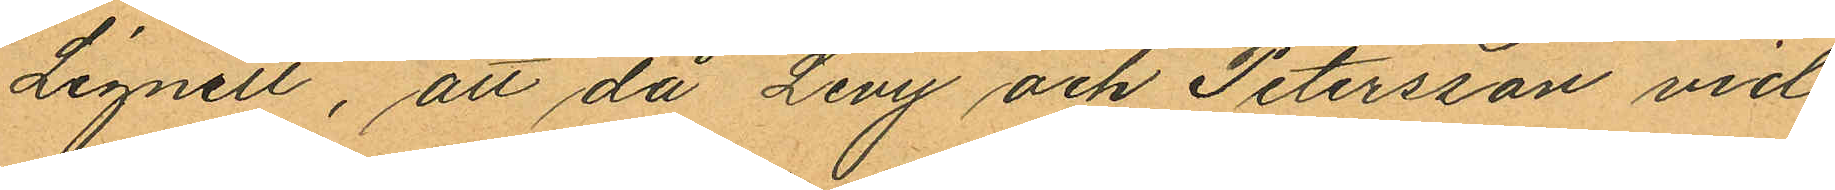Lignell, att då Levy och Petersson vid
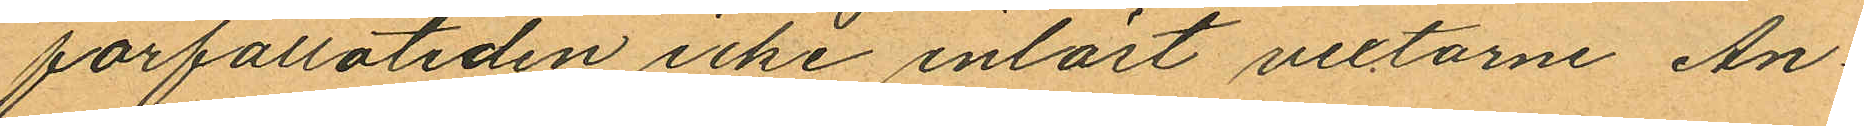förfallotiden icke inlöst vextarne An¬
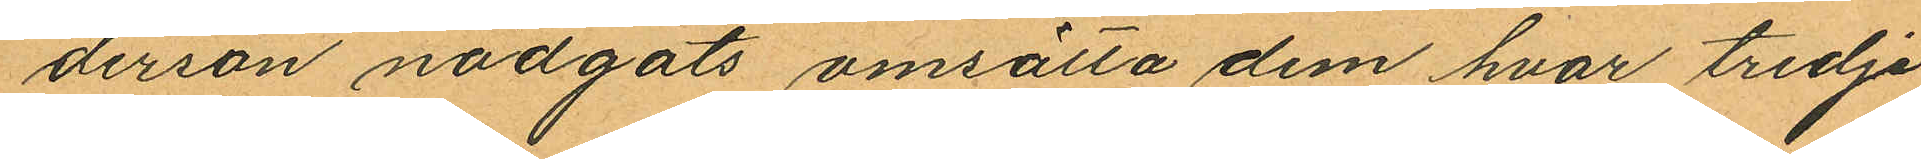derson nödgats omsätta dem hvar tredje
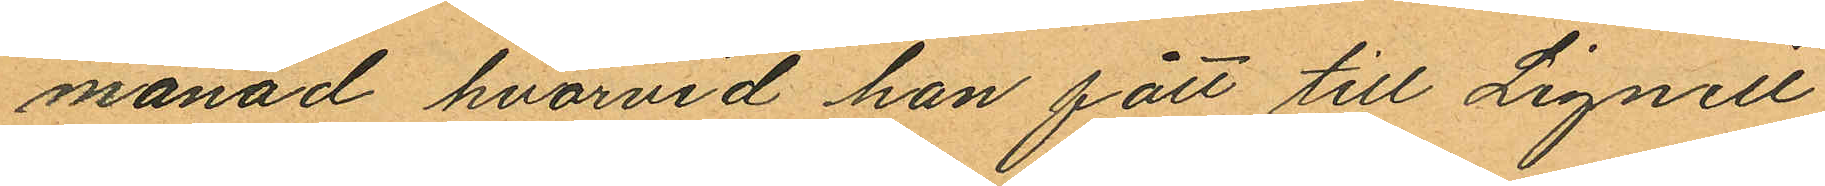månad hvarvid han fått till Lignell
